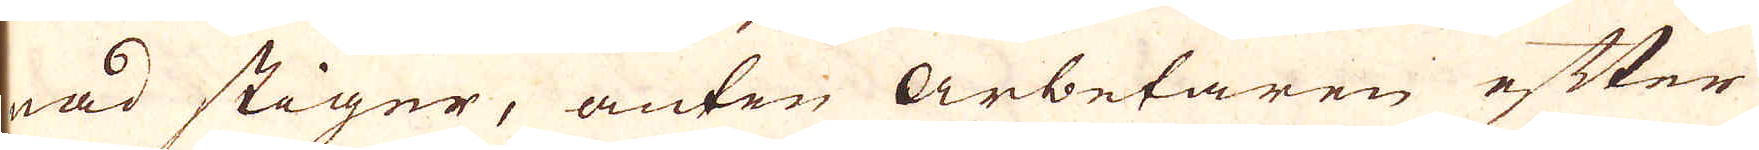nad stiger, anten arbetaren efter
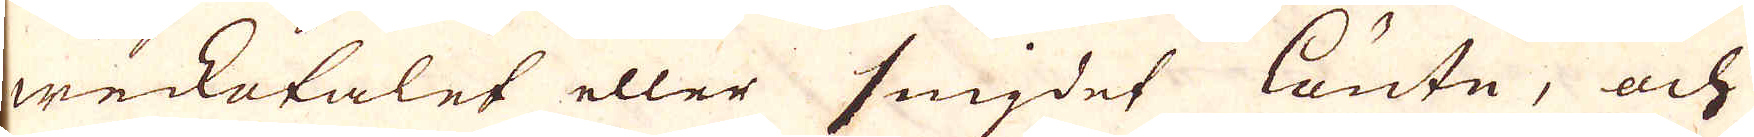weckotalet eller smigdet lönte, och
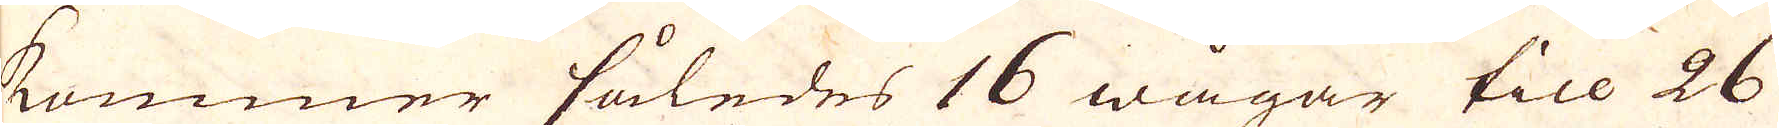kommer således 16 wågar till 26
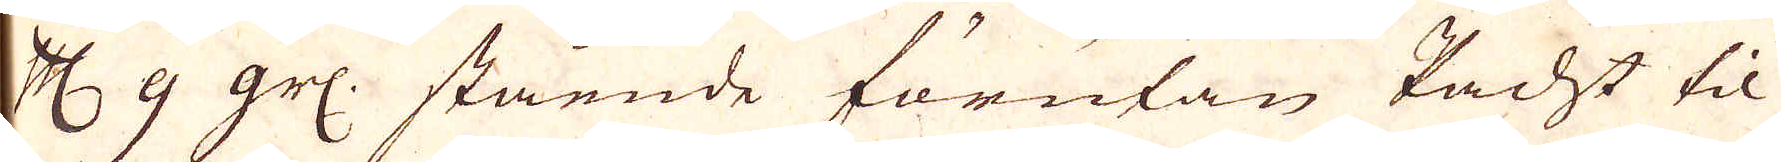Cologne Mark g gr: stående förutan Vacht til
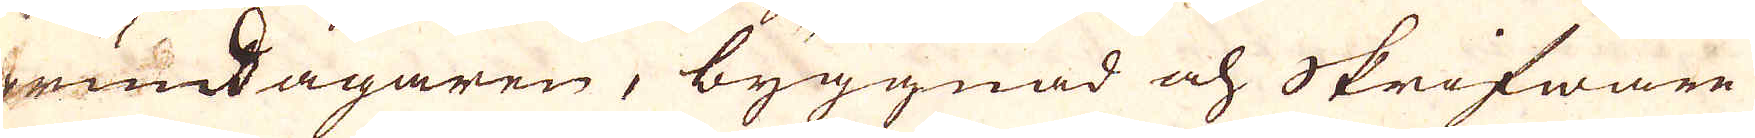grundagaren, byggnad och Skrifware
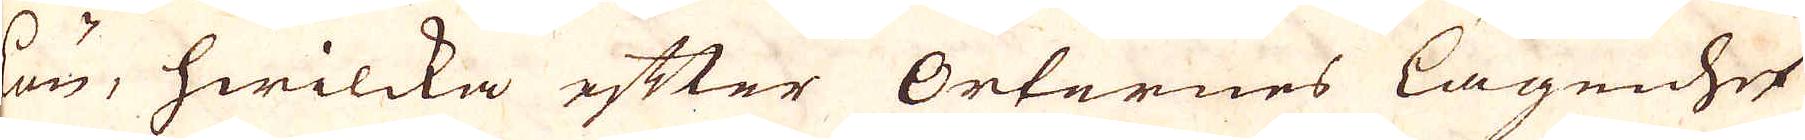lön, hwilcka efter Orternes lägenhet
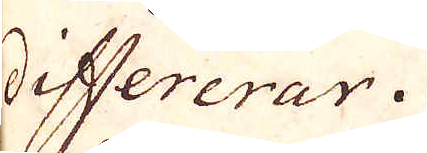differerar.
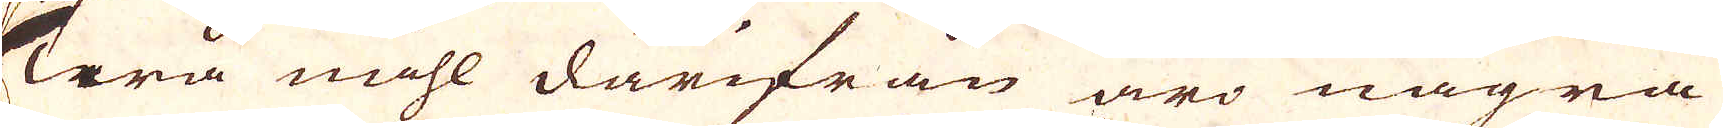Twå mihl därifrån äro några
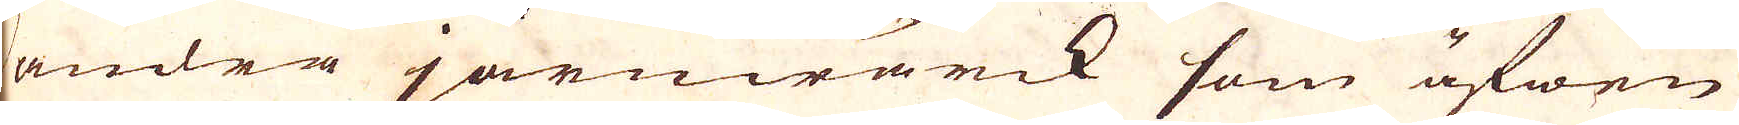andra järnwärck som äfwen
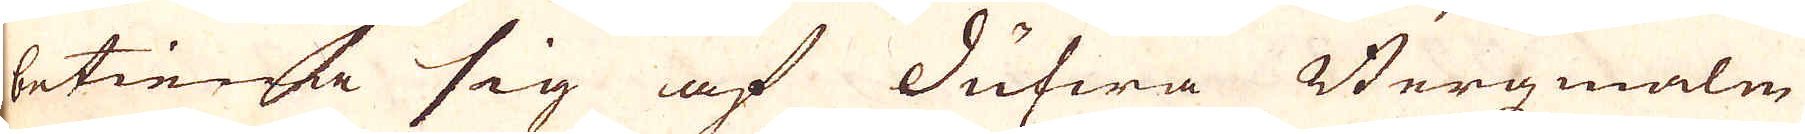betiena sig af dufwa Bergmalm
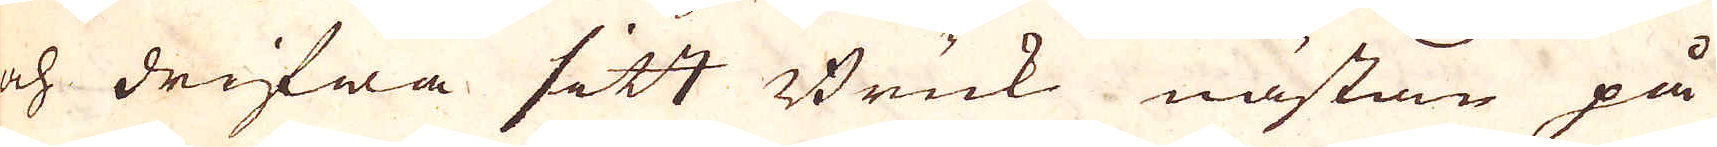och drifwa sitt Bruk nästan på
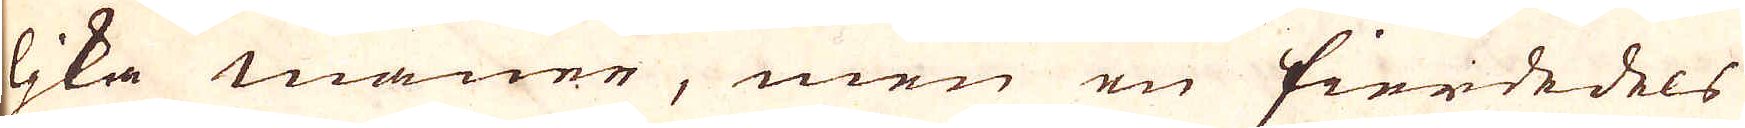lika maner, men en fierdedels
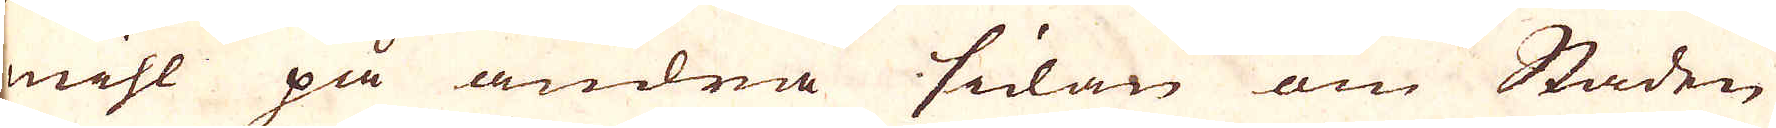mihl på andra sidan om Staden
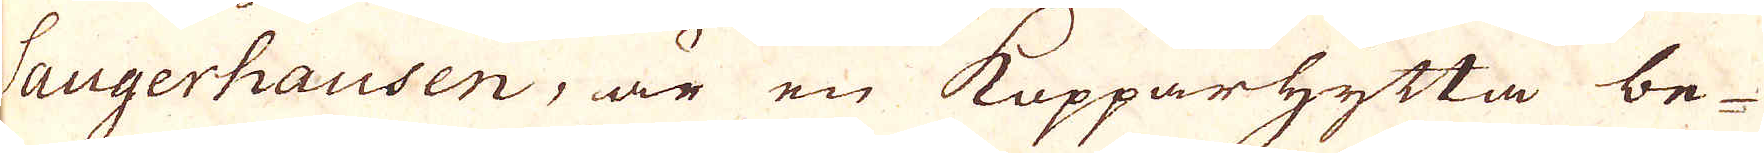Saugerhausen, är en Kopparhytta be-
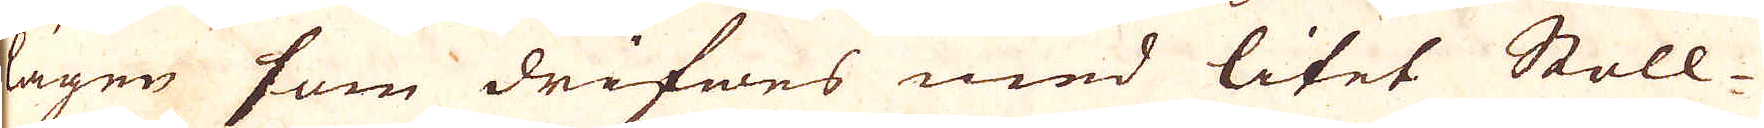lägen som drifwes med litet Stoll-
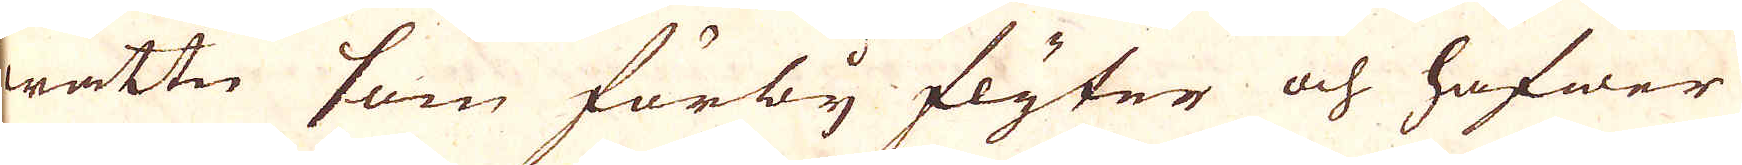wattn som förby flyter och hafwer
